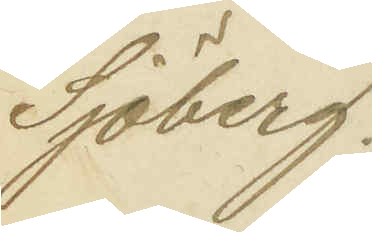Sjöberg.
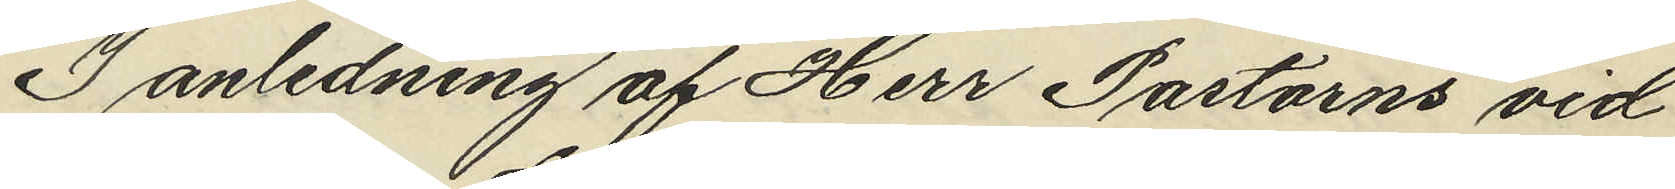I anledning af Herr Pastorns vid
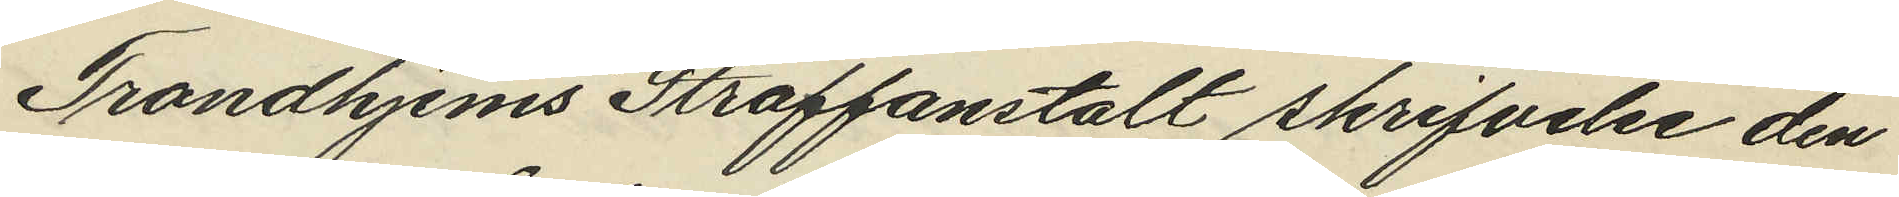Trondhjems Straffanstalt skrifvelse den
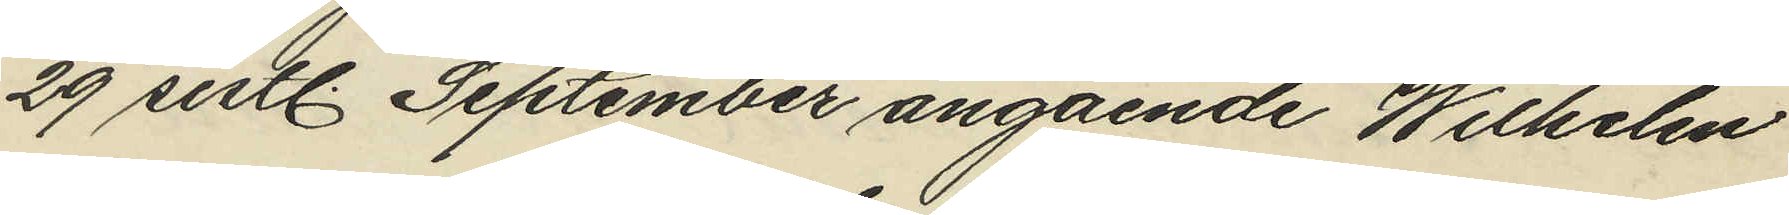29 sistl. September angående Wilhelm
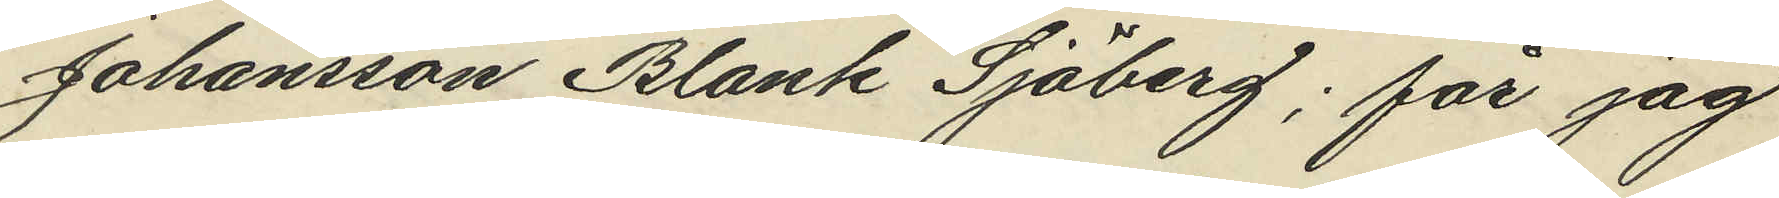Johansson Blank Sjöberg; får jag
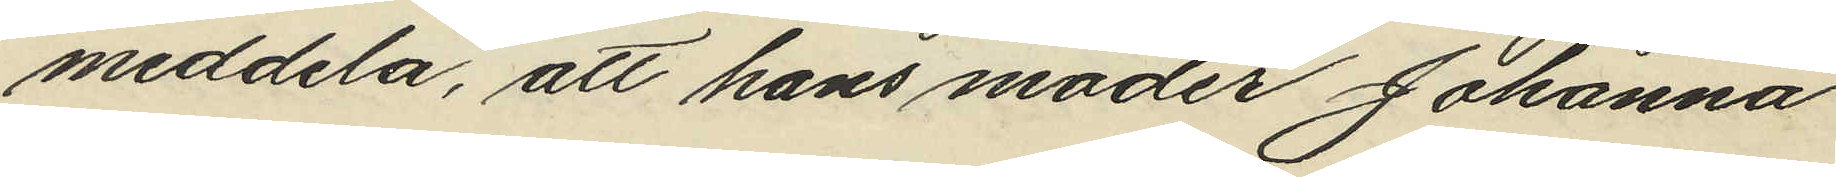meddela, att hans moder Johanna
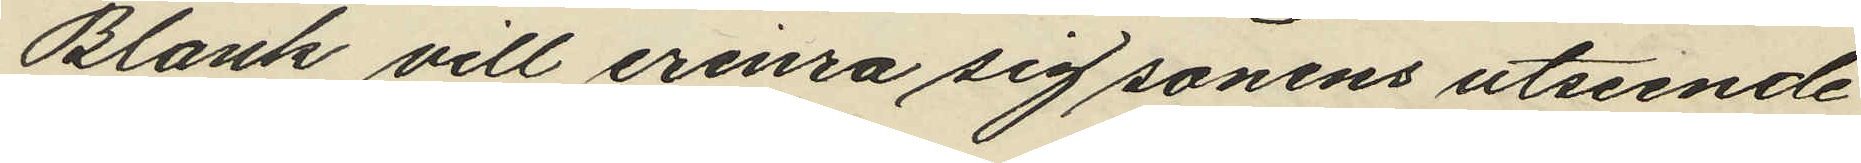Blank vill erinra sig sonens utseende
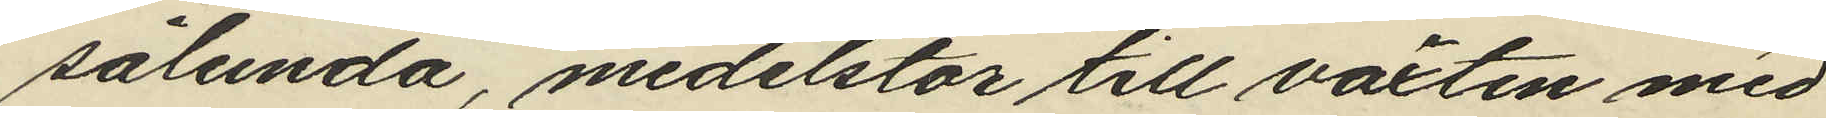sålunda, medelstor till växten med
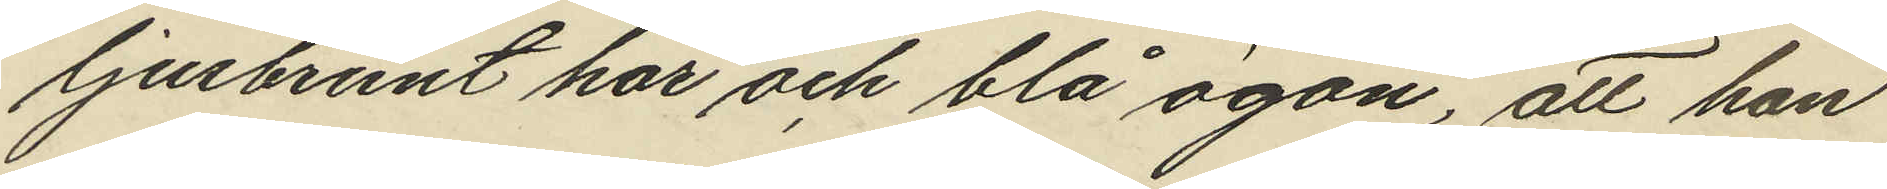ljusbrunt hår och blå ögon, att hon
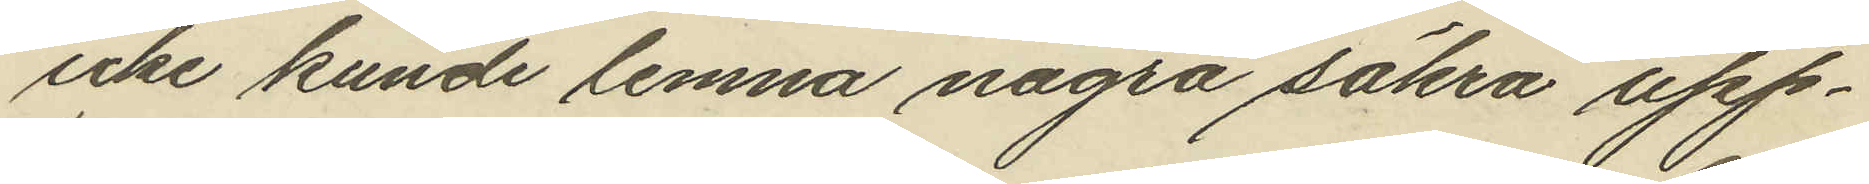icke kunde lemna några säkra upp¬
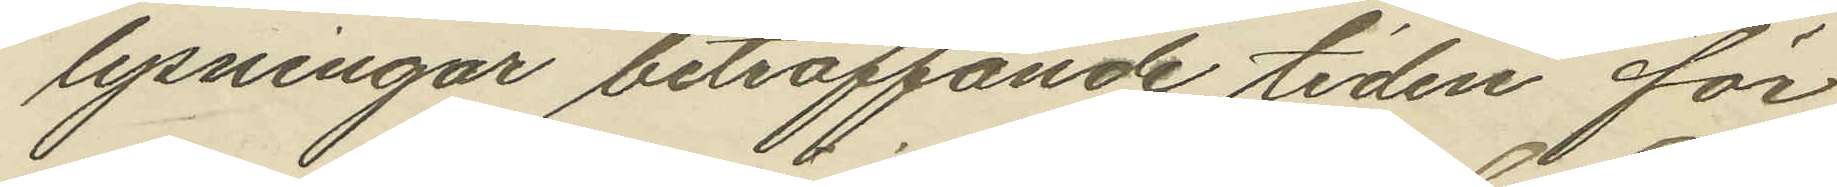lysningar beträffande tiden för
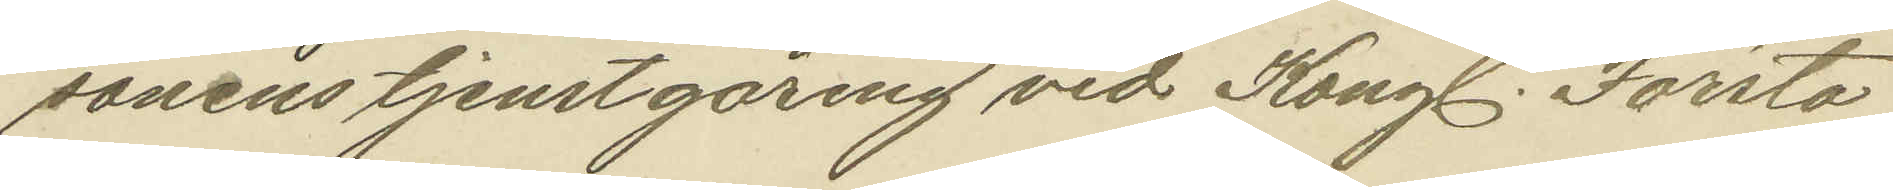sonens tjenstgöring vid Kongl. Första
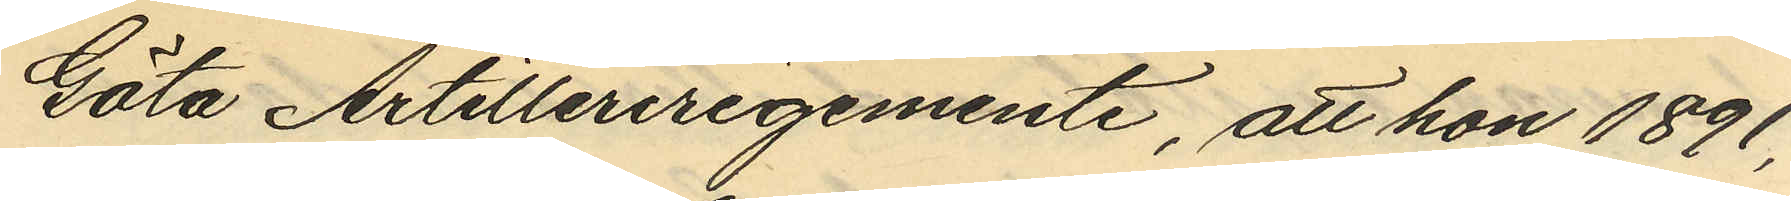Göta Artilleriregemente, att hon 1891,
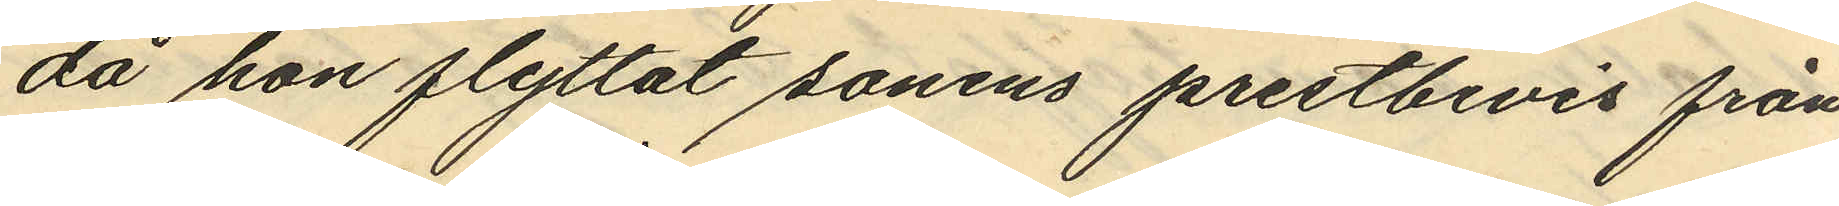då hon flyttat sonens prestbevis från
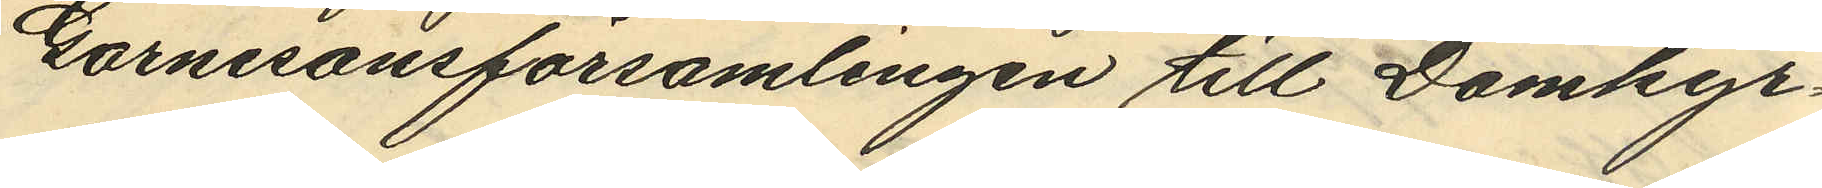Garnisonsförsamlingen till Domkyr¬
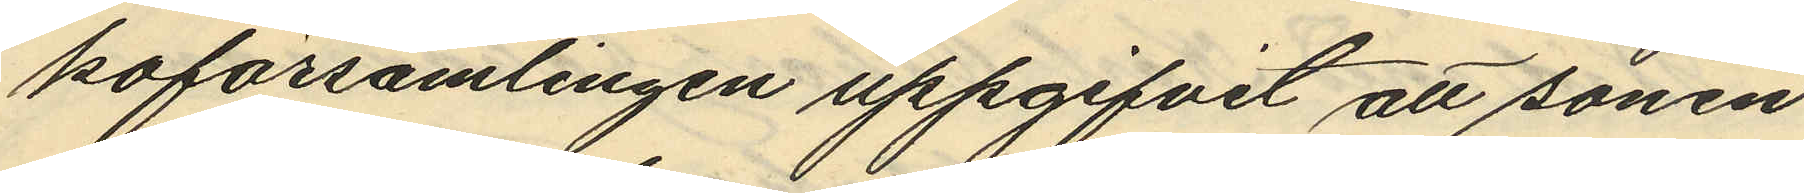koförsamlingen uppgifvit att sonen
